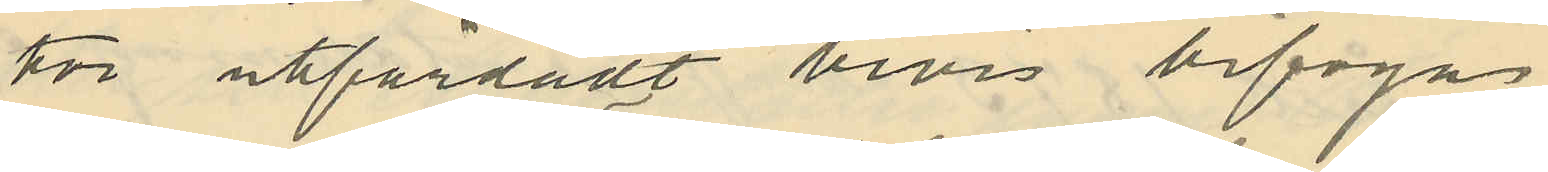tor uttfärdadt bevis bifogas.
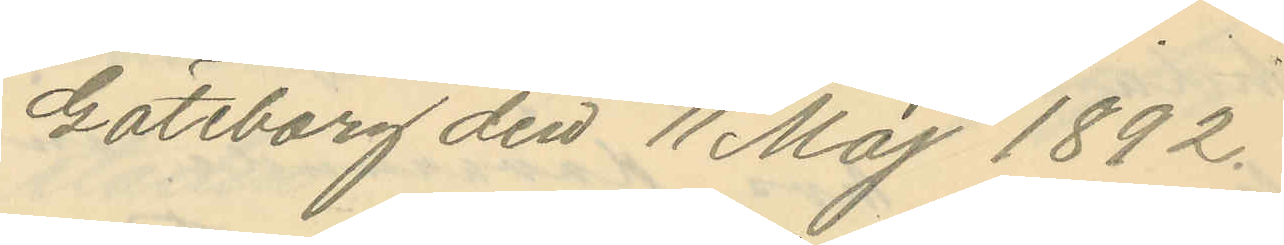Göteborg den 11 Maj 1892.
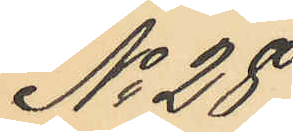No 28.
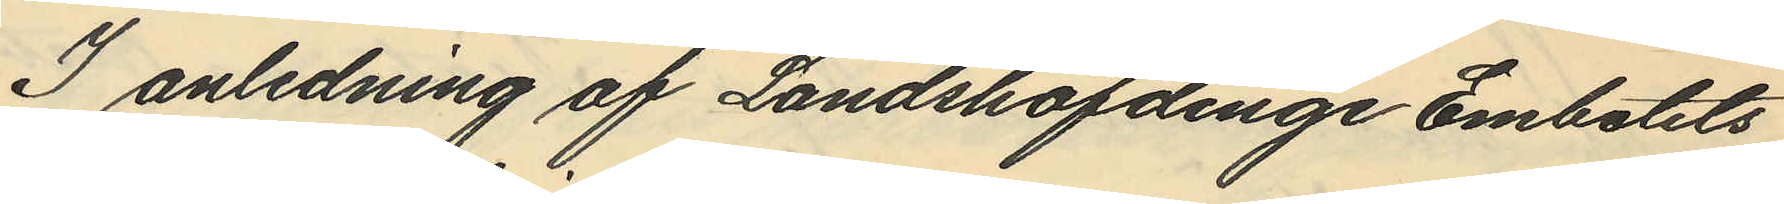I anledning af Landshöfdinge Embetets
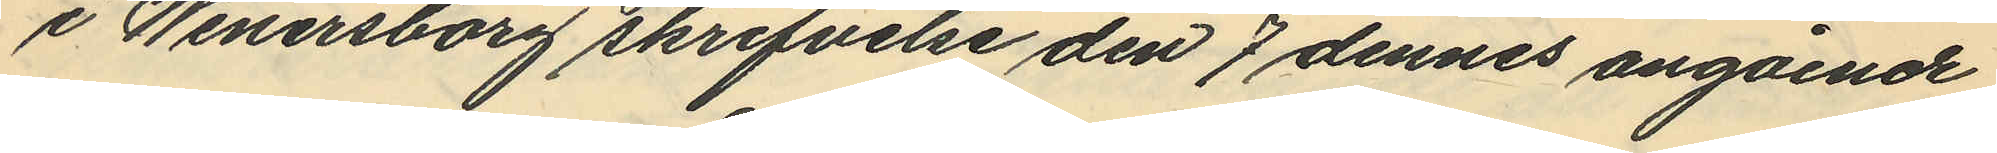i Wenersborg skrifvelse den 7 dennes angående
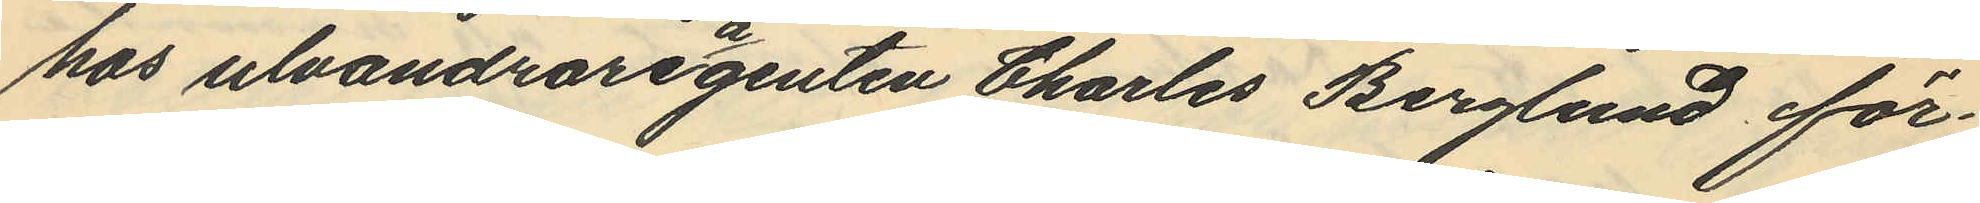hos utvandrareagenten Charles Berglund för¬
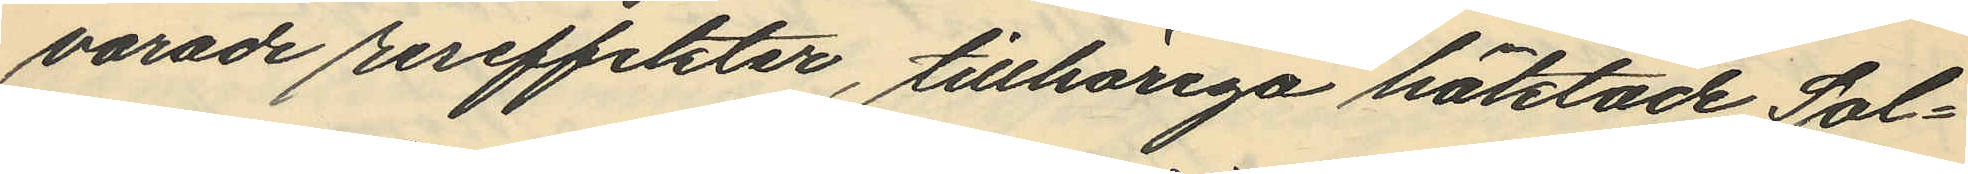varade reseffekter, tillhöriga häktade Sol¬
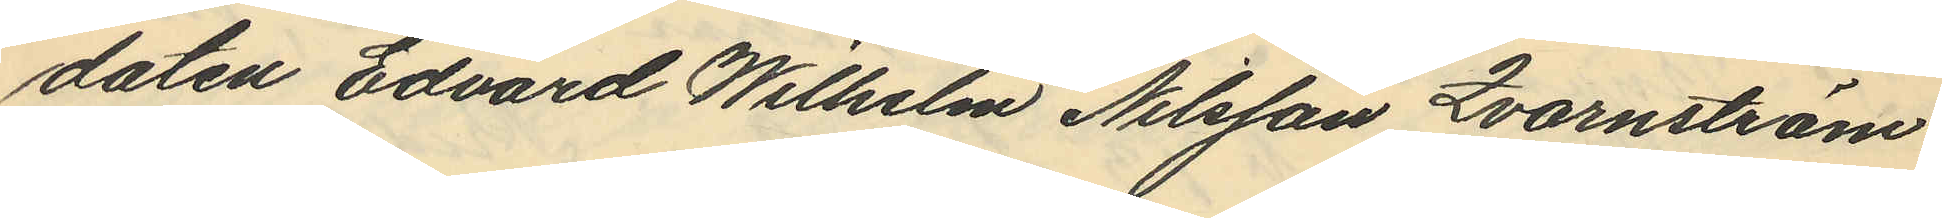daten Edvard Wilhelm Nilsson Qvarnström
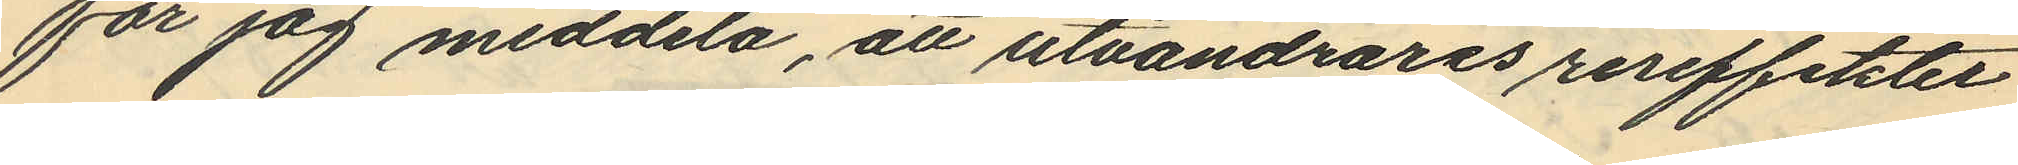får jag meddela, att utvandrares reseffekter
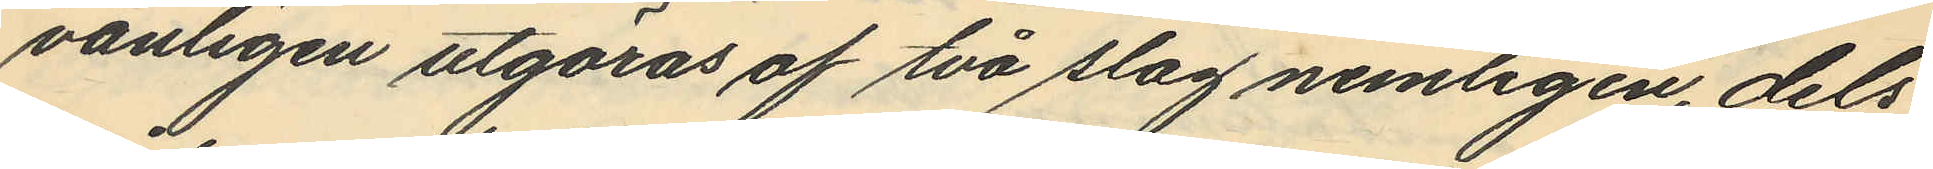vanligen utgöras af två slag nemligen, dels
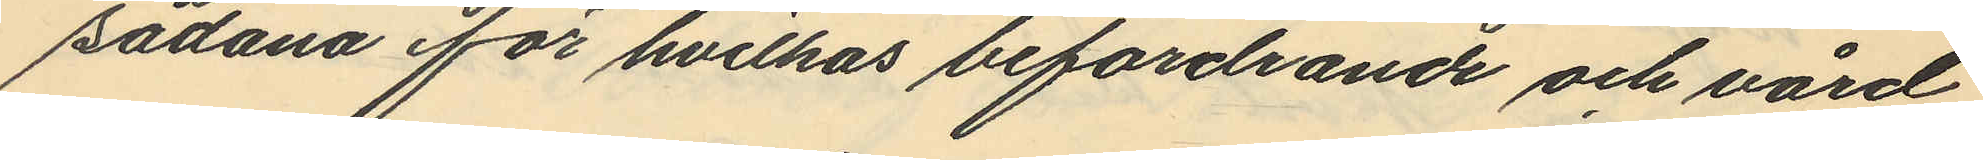sådana för hvilkas befordrande och vård
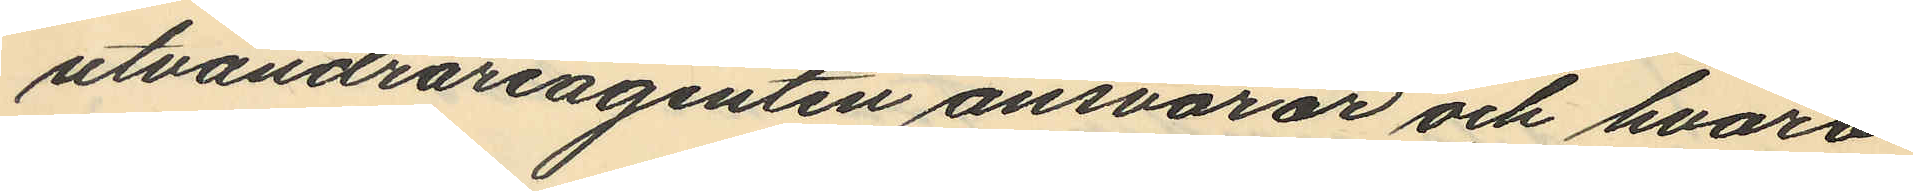utvandrareagenten ansvarar och hvarå
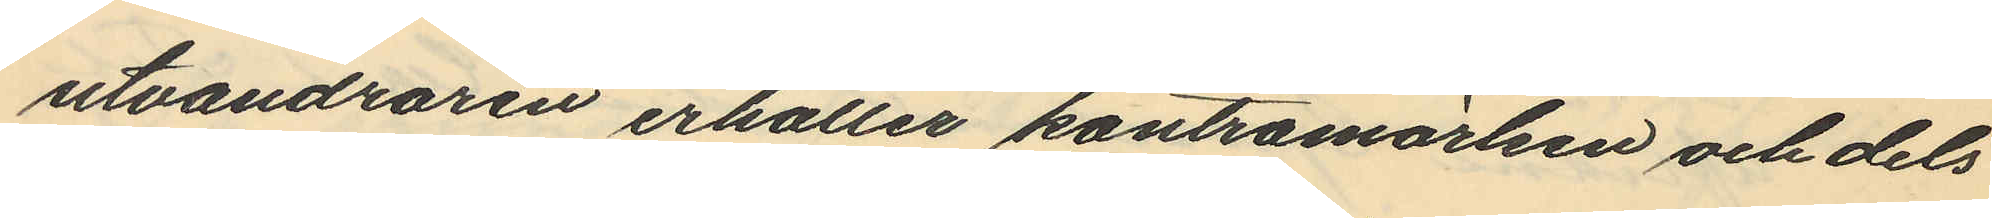utvandraren erhåller kontramärken och dels
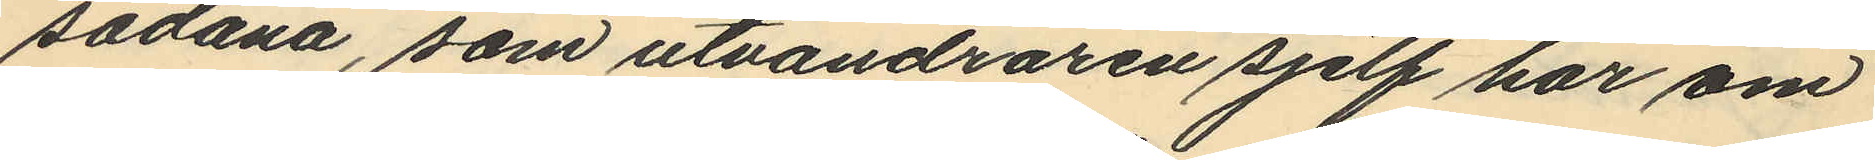sådana, som utvandraren sjelf har om
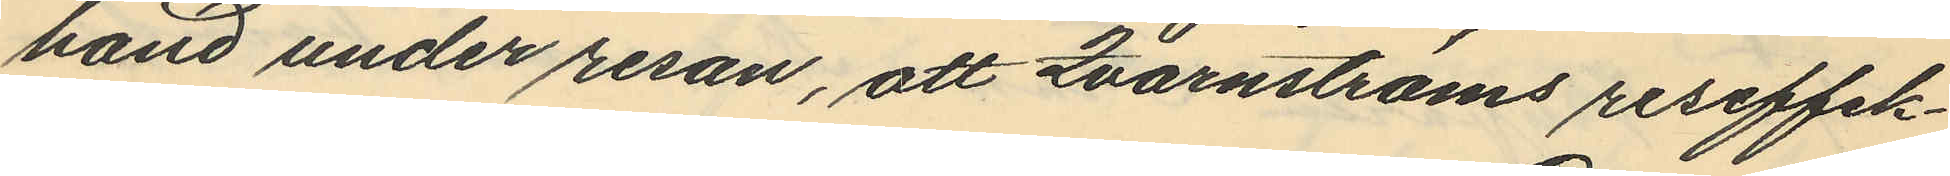händ under resan, att Qvarnströms reseffek¬
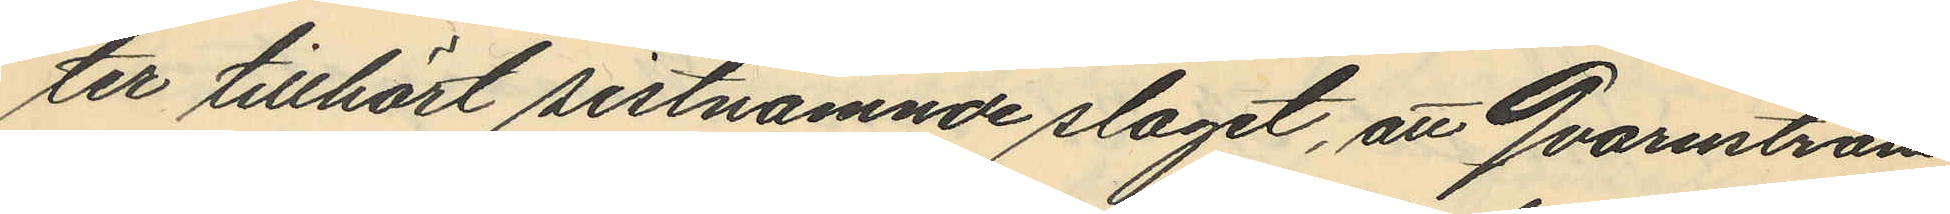ter tillhört sistnämnde slaget, att Qvarnström
